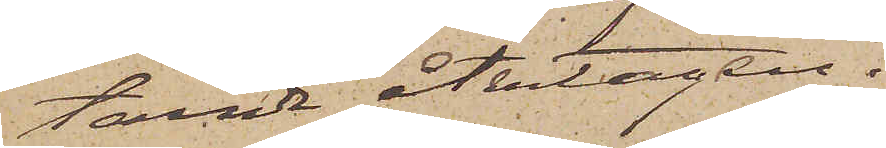tande återtagen.
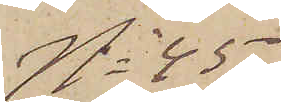No 45
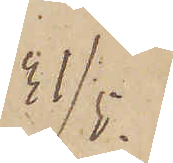31/5.
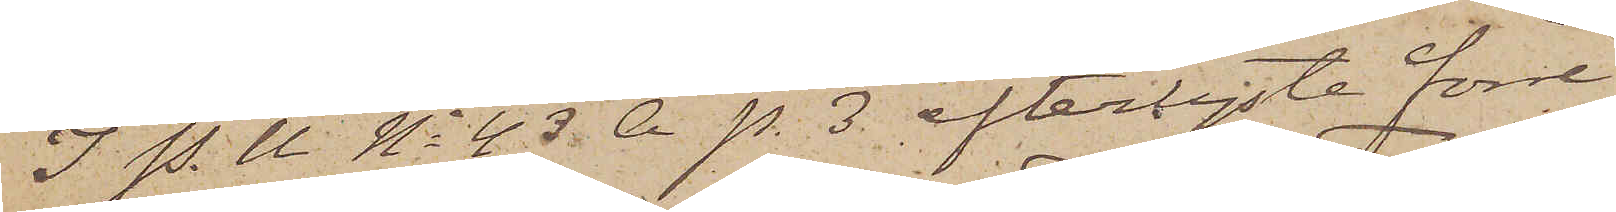I P. U No 43 A p. 3 efterlyste förre
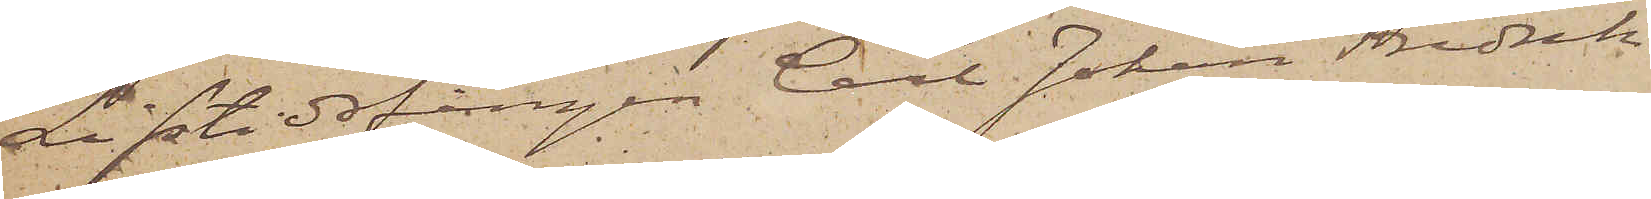Lifstidsfången Carl Johan Fredrik
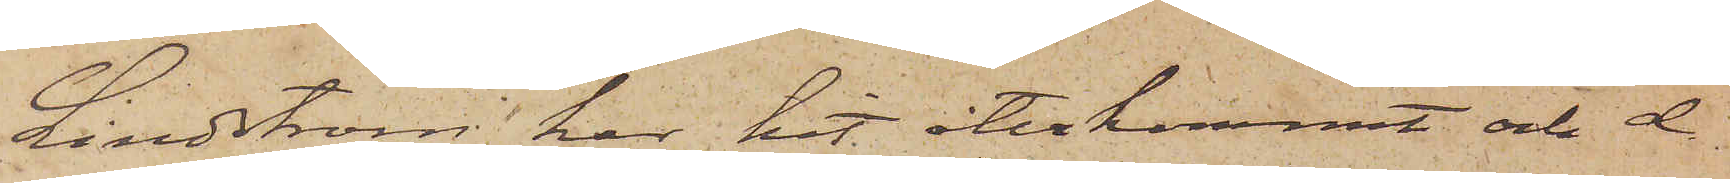Lindström har hit återkommit och d
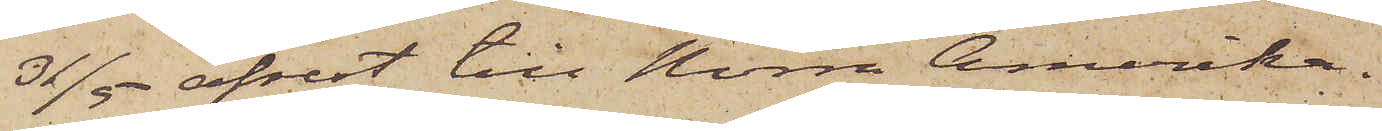31/5 afrest till Norra Amerika.
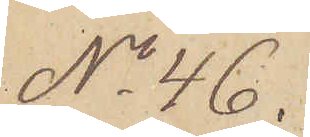No 46.
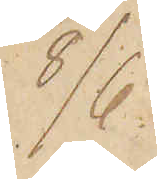8/6
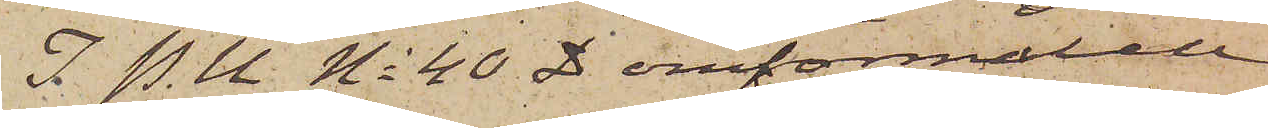I. P.U No 40 D omförmälde
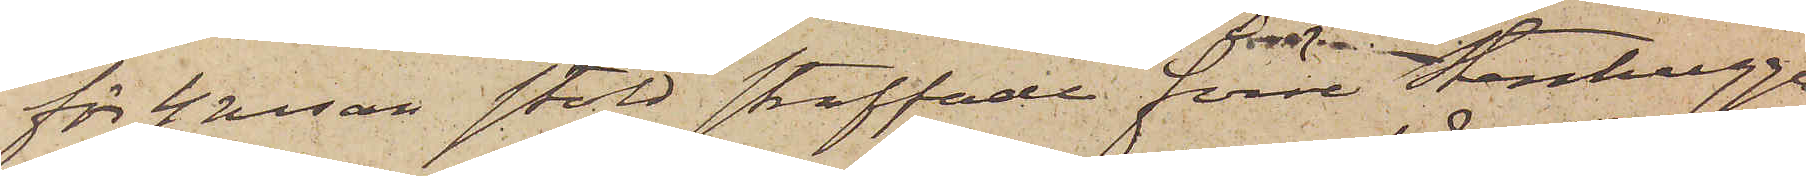för 4 resan stöld straffade förre Stenhugga¬
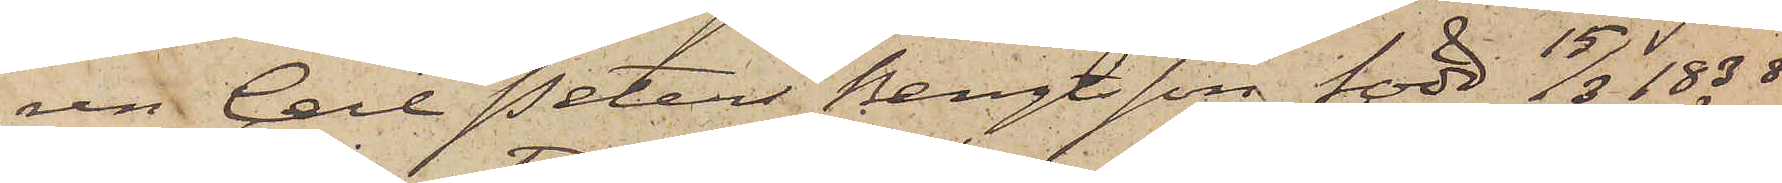ren Carl Peter Bengtsson, född 15/3 1838
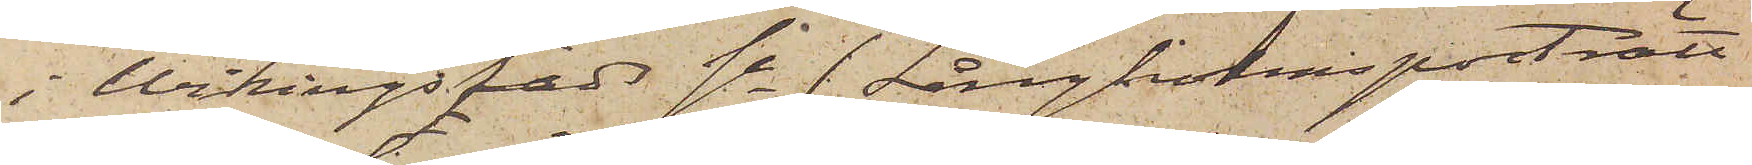i Wikingstads sn (Långholmsporträtt
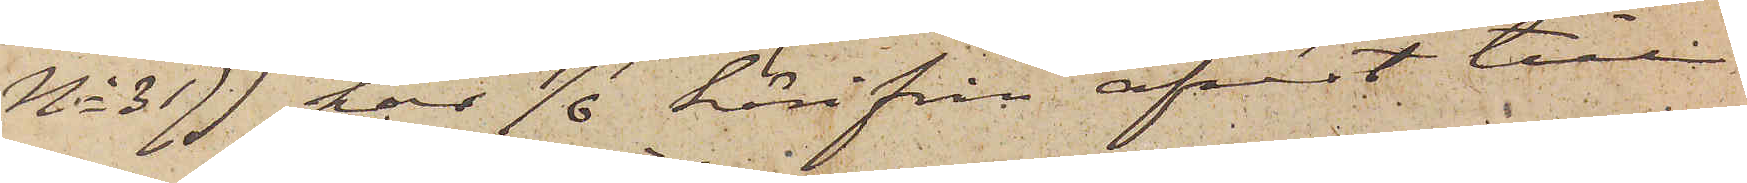No 317) har 7/6 härifrån afrest till
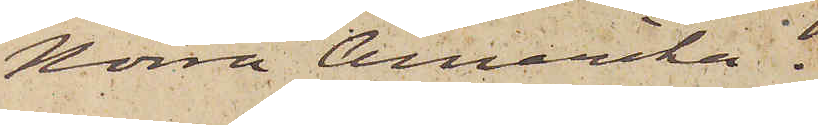Norra Amerika.
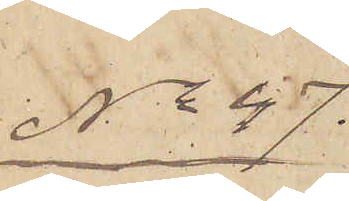No 47.
